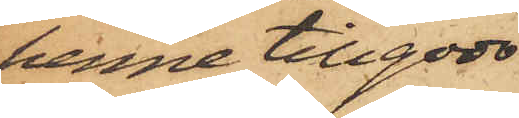henne tillgodo
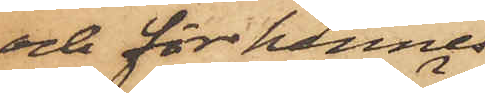och för hennes
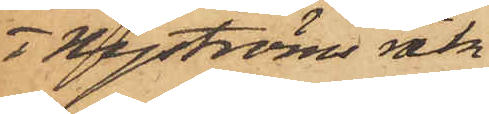 o Nyströms räk¬
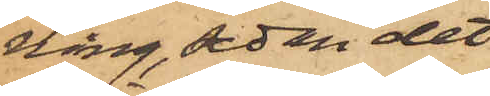ning, sedan det
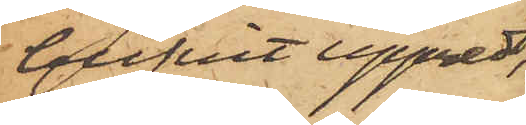blifvit uppredt,
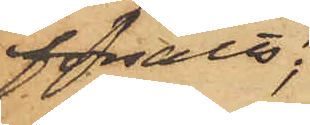försålt;
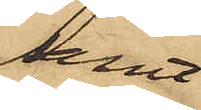samt
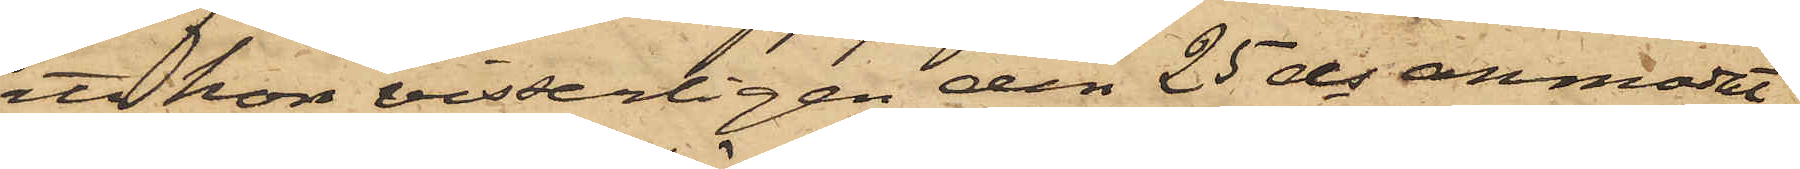att hon visserligen den 25 ds anmodat
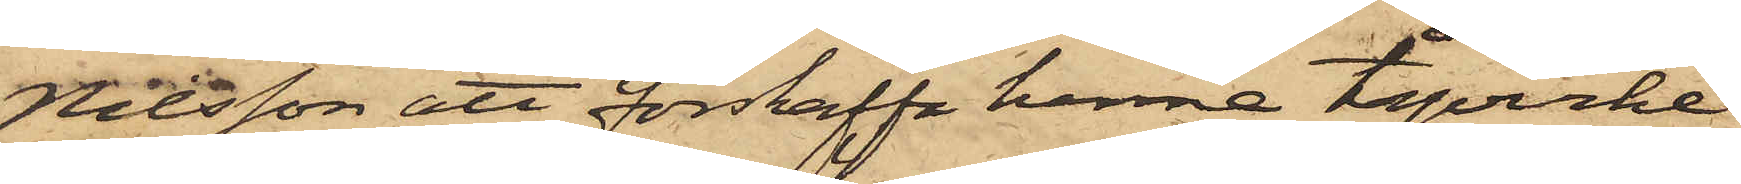Nilsson att förskaffa henne tågvirke
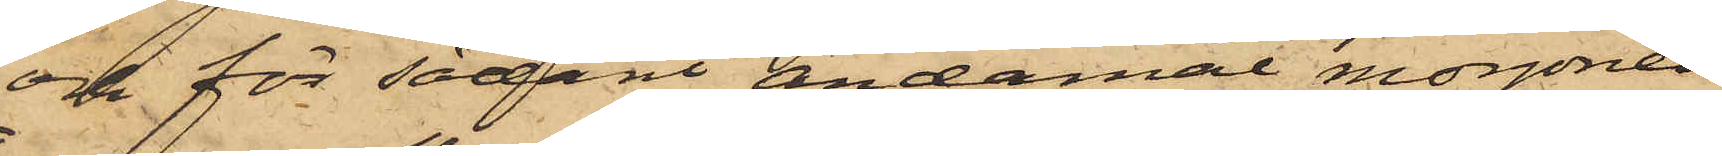och för sådant ändamål morgonen
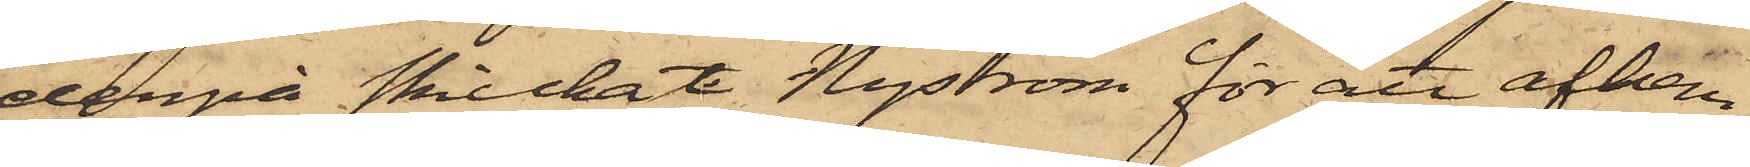derpå skickat Nyström för att afhem¬
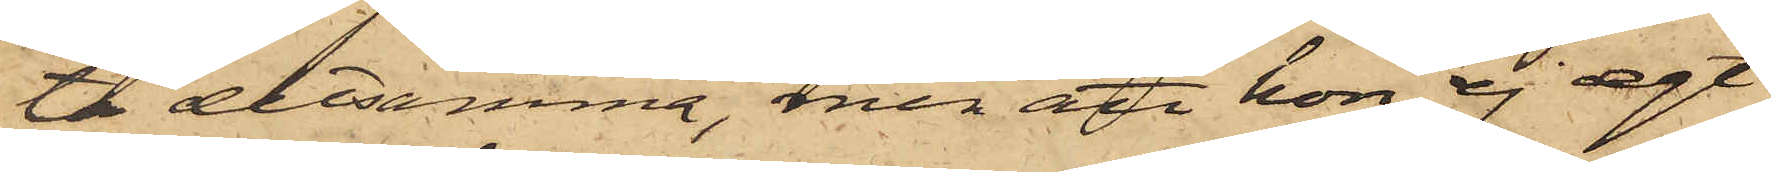ta detsamma, men att hon ej egt
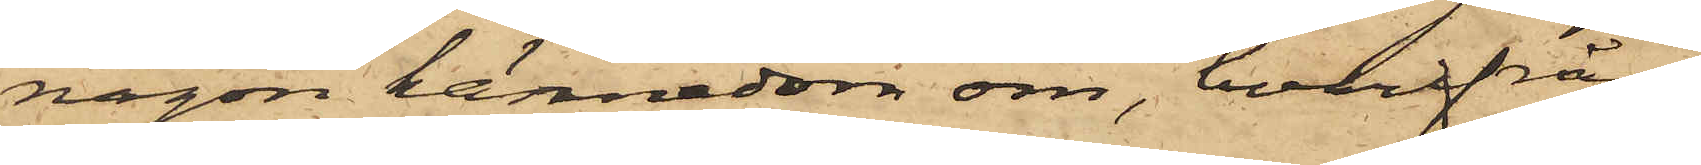någon kännedom om, hvarifrån
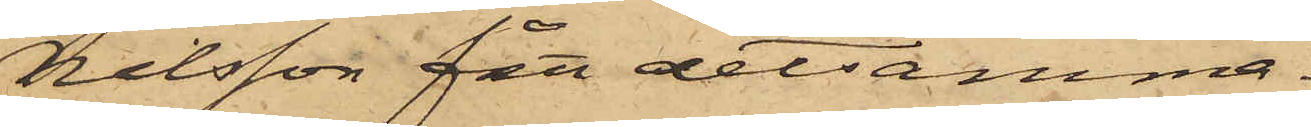Nilsson fått detsamma.
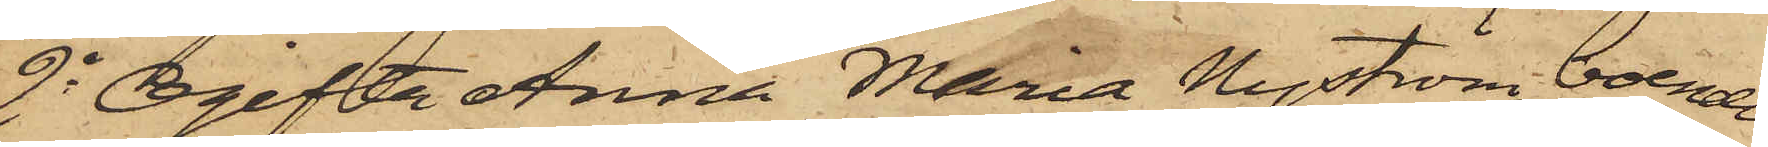2o Ogifta Anna Maria Nyström, boende
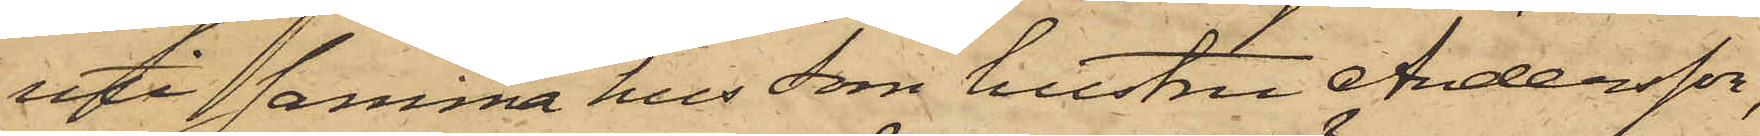uti samma hus som hustru Andersson,
